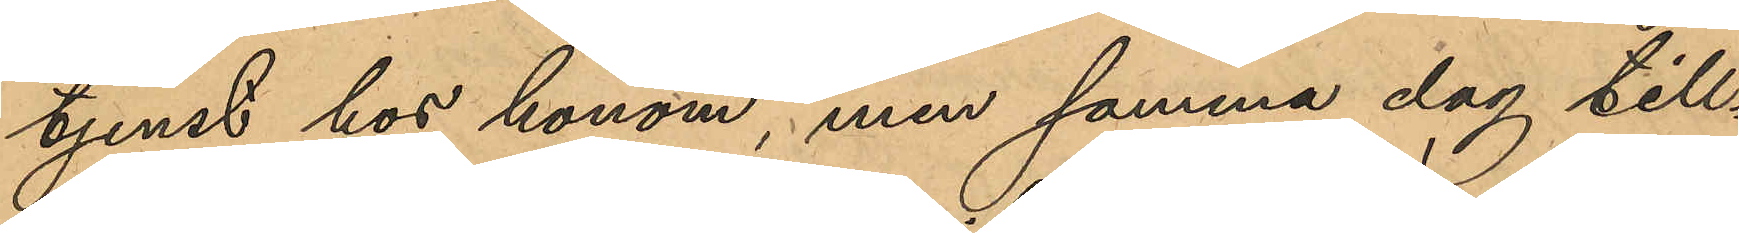tjenst hos honom, men samma dag till¬
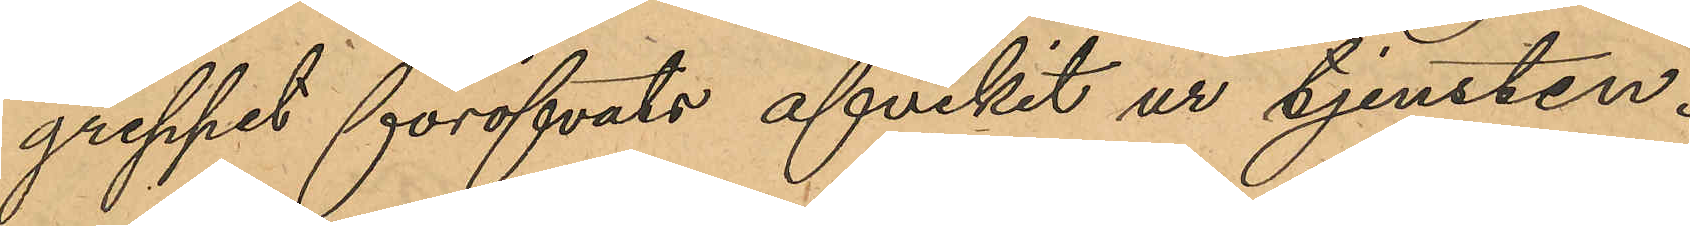greppet föröfvats afvikit ur tjensten.
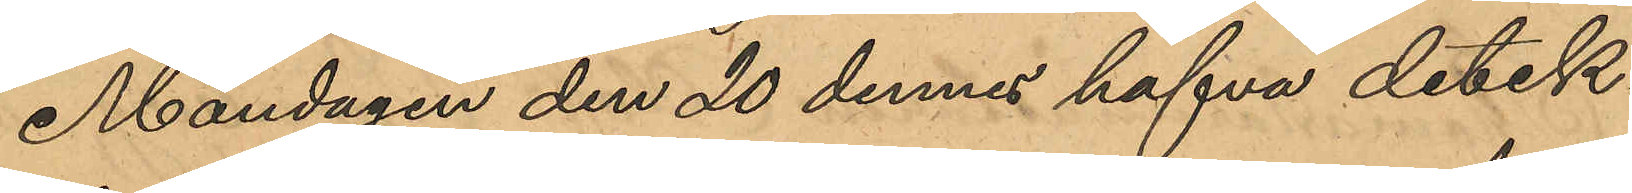Måndagen den 20 dennes hafva detek¬
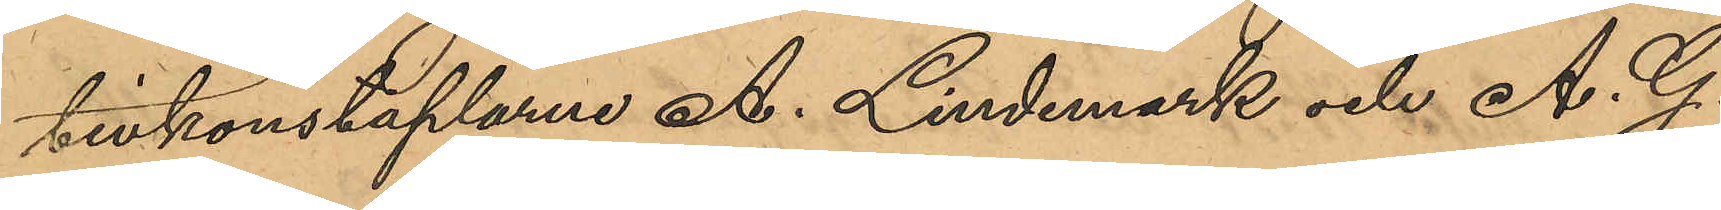tivkonstaplarne A. Lindmark och A. G.
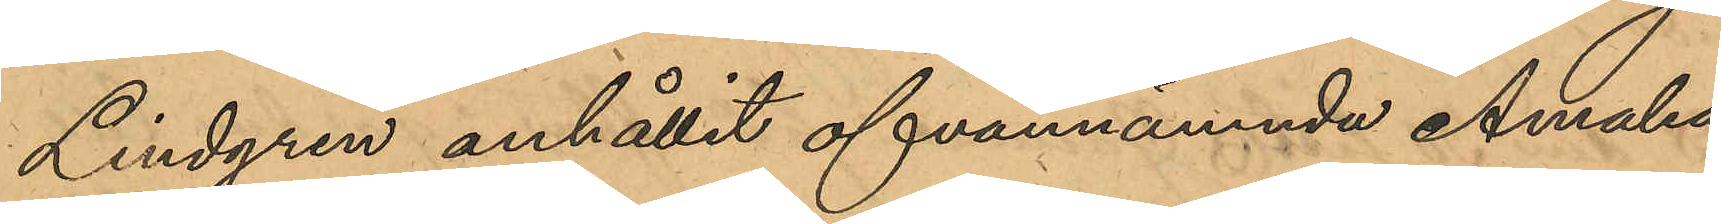Lindgren anhållit ofvannämnda Amalia
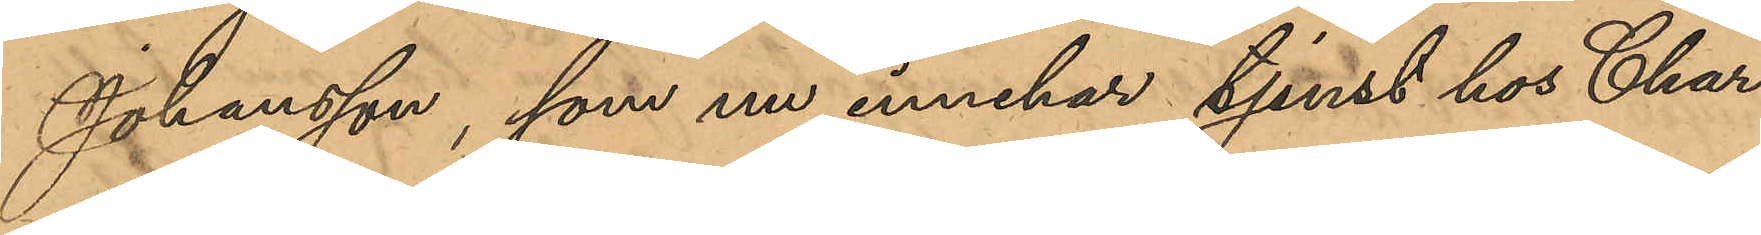Johansson, som nu innehar tjenst hos Char¬
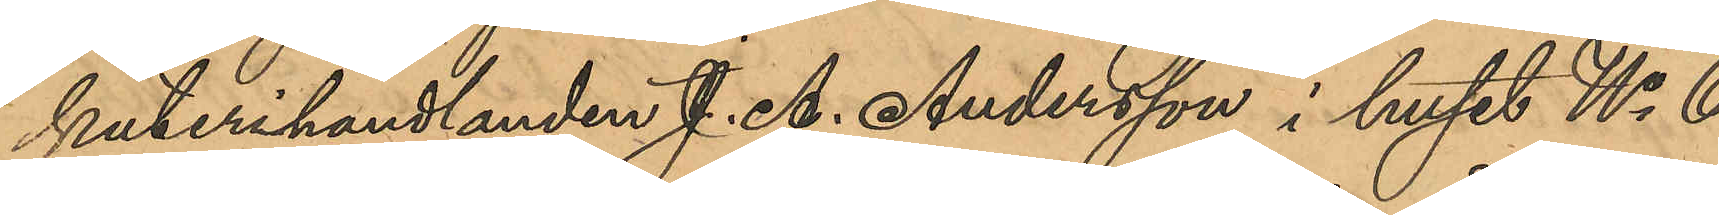kuterihandlanden J. A. Andersson i huset No 6
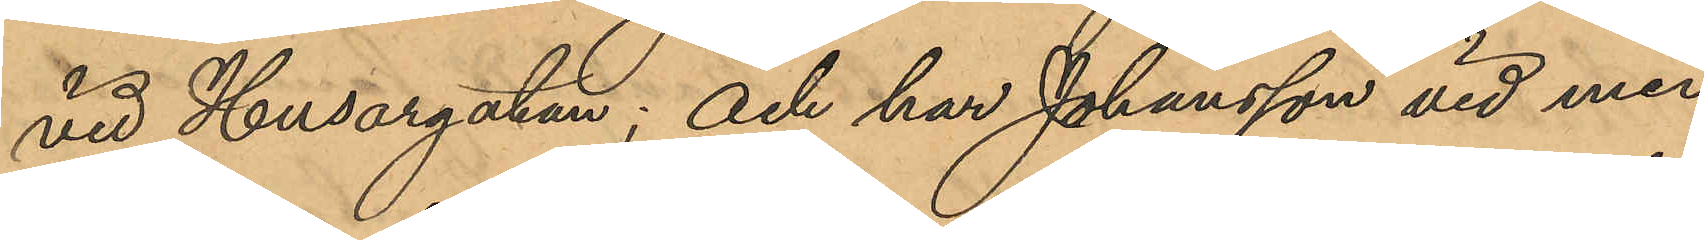vid Husargatan; och har Johansson vid med
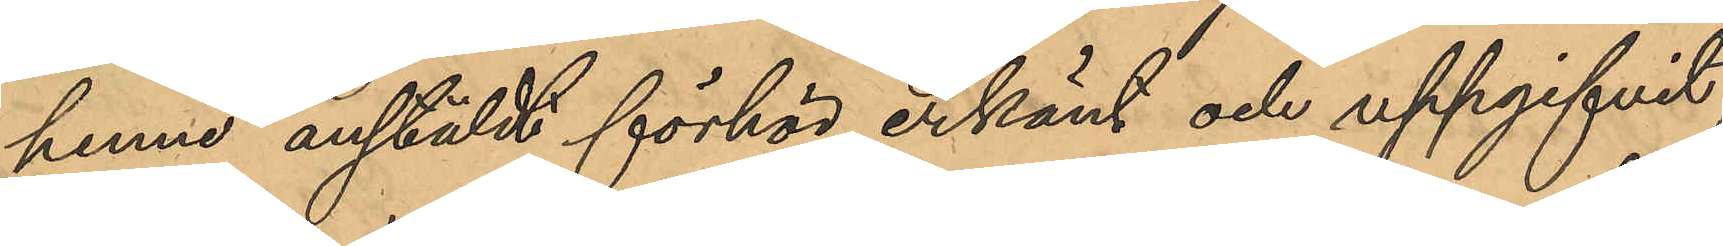henne anstäldt förhör erkänt och uppgifvit,
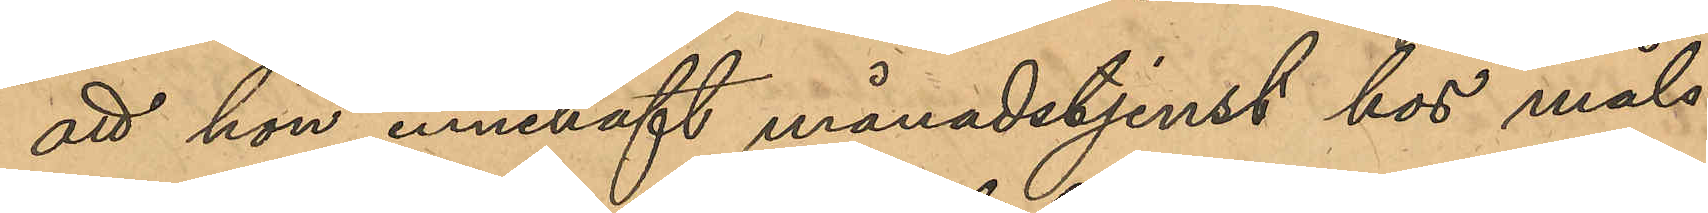att hon innehaft månadstjenst hos måls¬
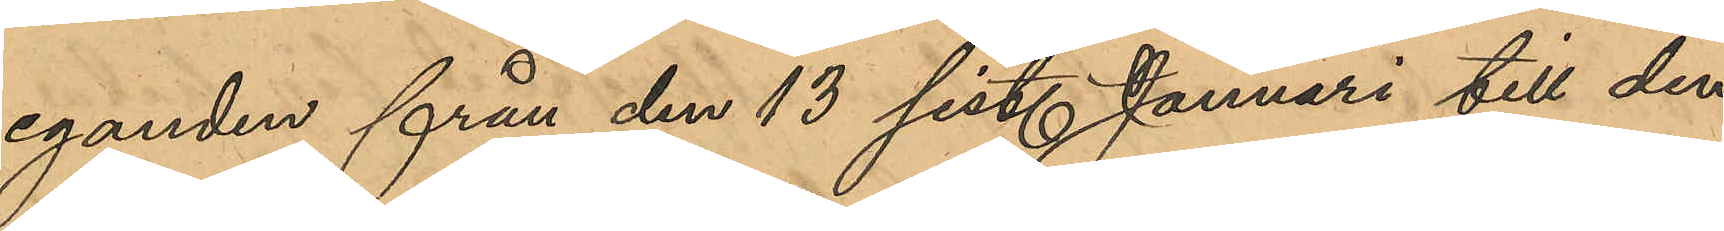eganden från den 13 sist. Januari till den
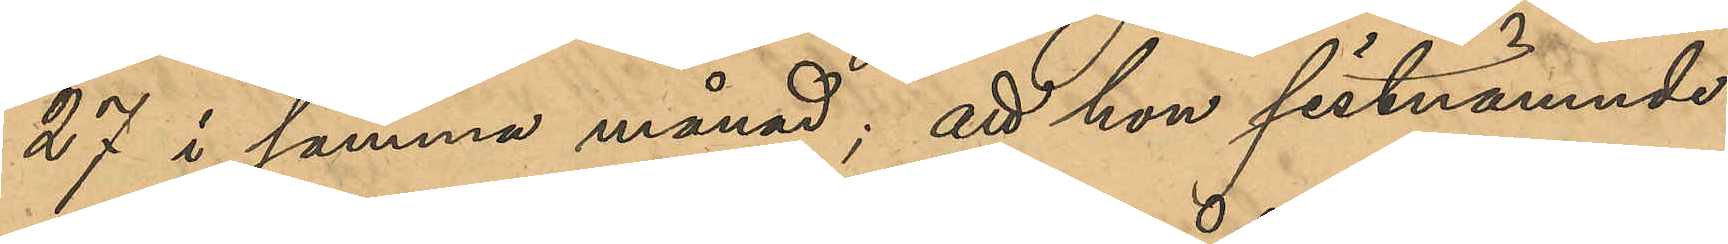27 i samma månad; att hon sistnämnde
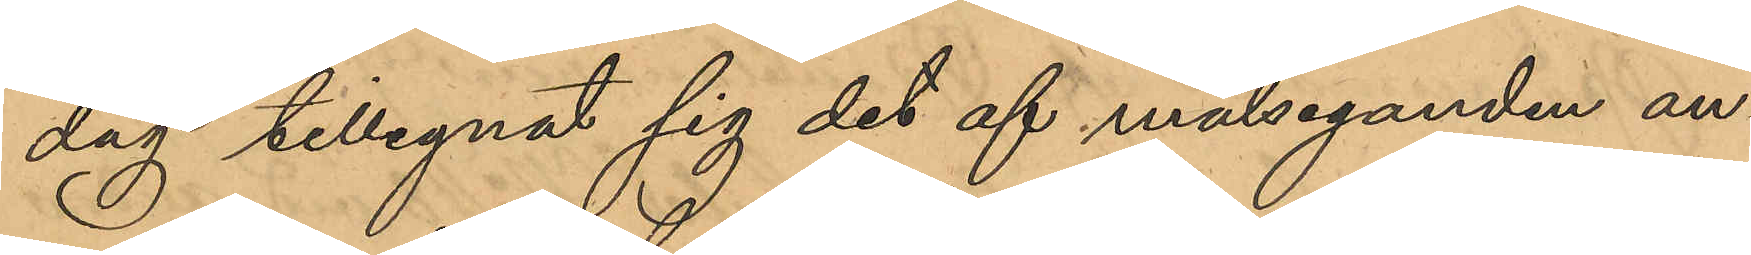dag tillegnat sig det af målseganden an¬
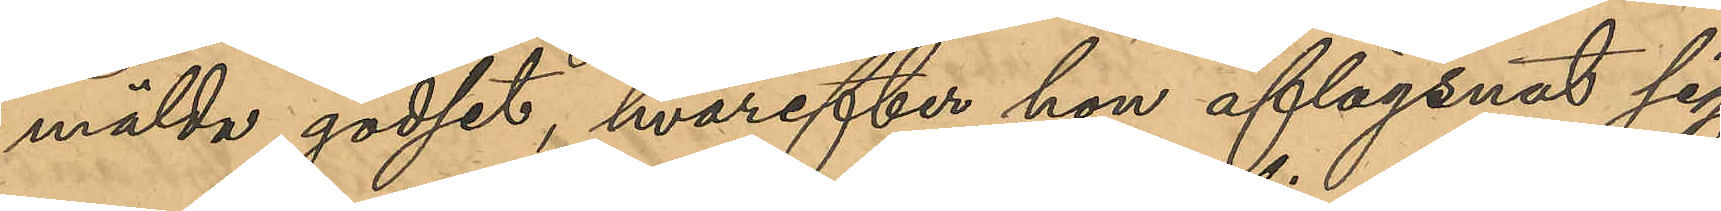mälda godset, hvarefter hon aflägsnat sig
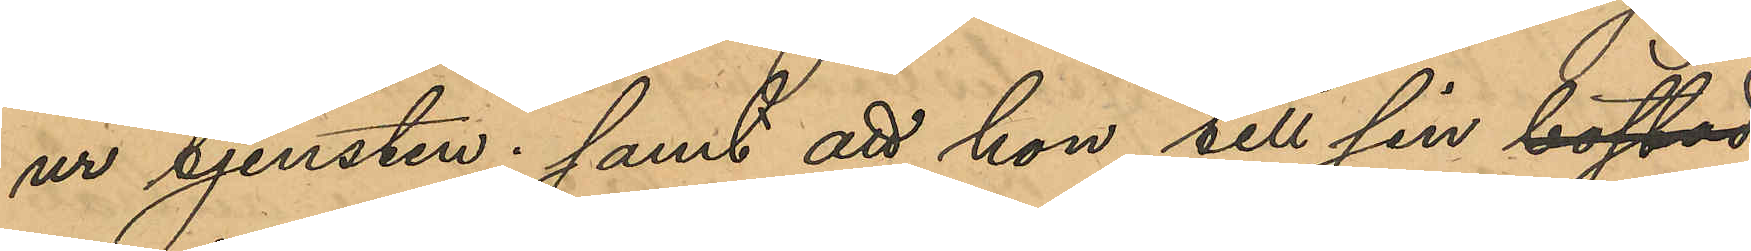ur tjensten; samt att hon till sin bostad
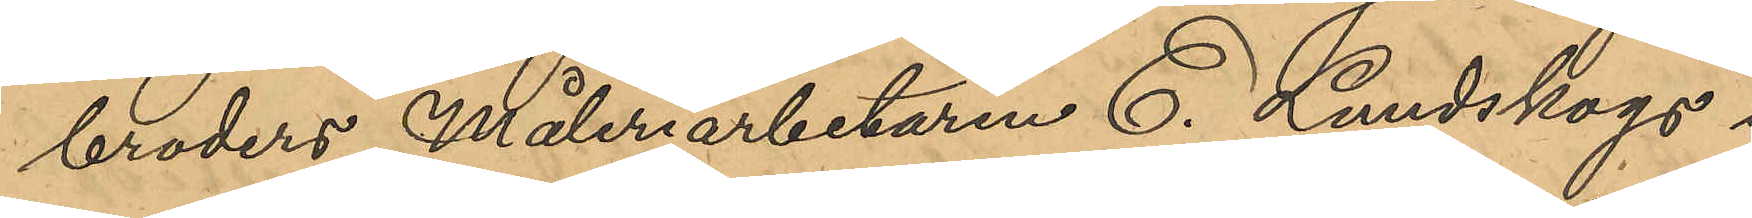broders Måleriarbetaren E. Lundskogs i
